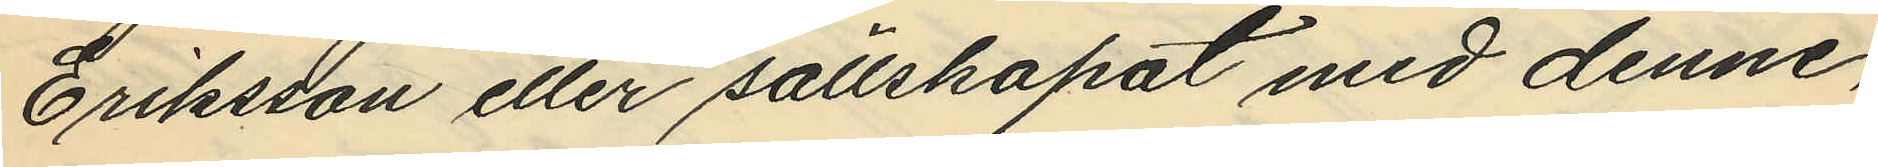Eriksson eller sällskapat med denne,
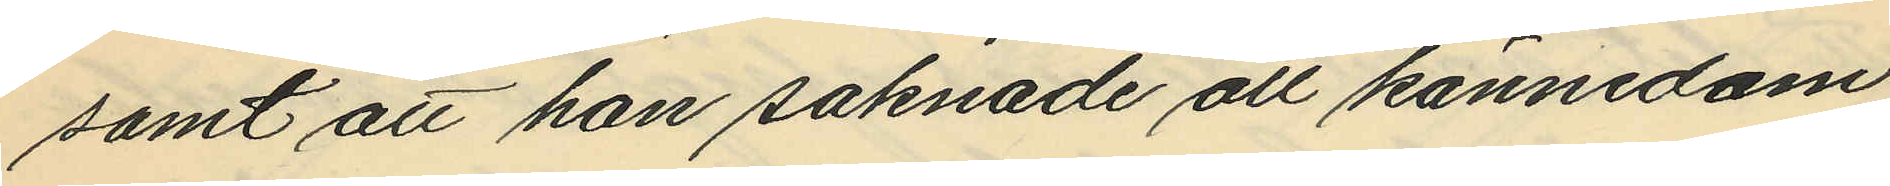samt att han saknade all kännedom
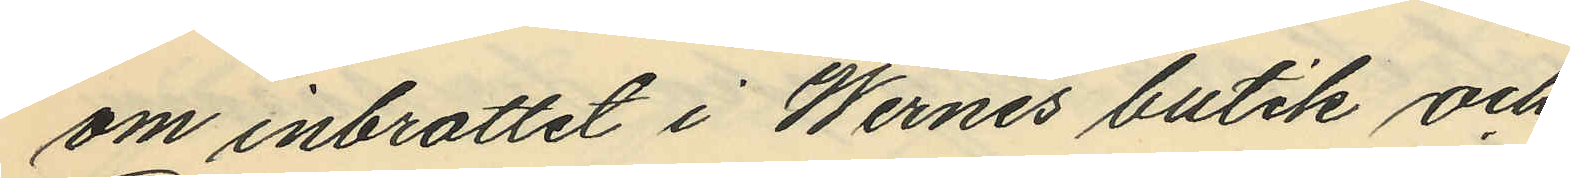om inbrottet i Wernes butik och
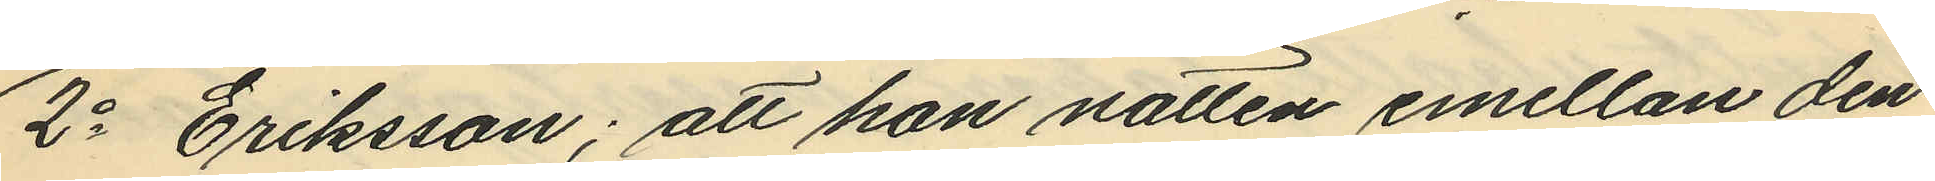2o Eriksson; att han natten emellan den
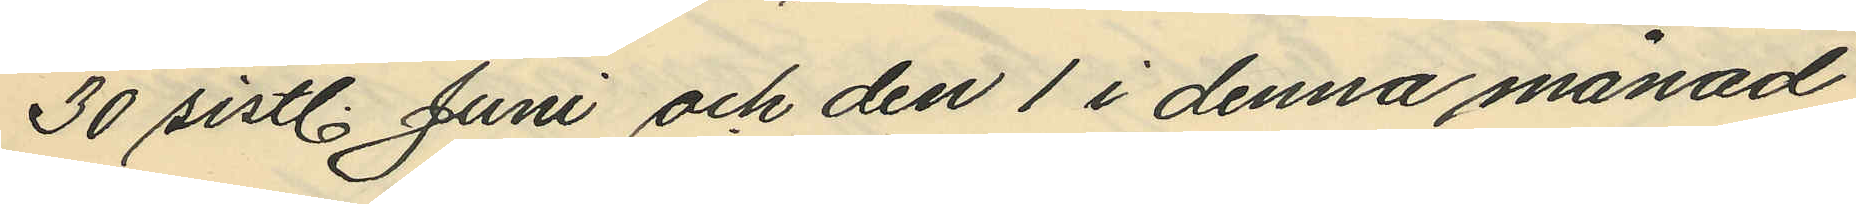30 sistl. Juni och den 1 i denna månad
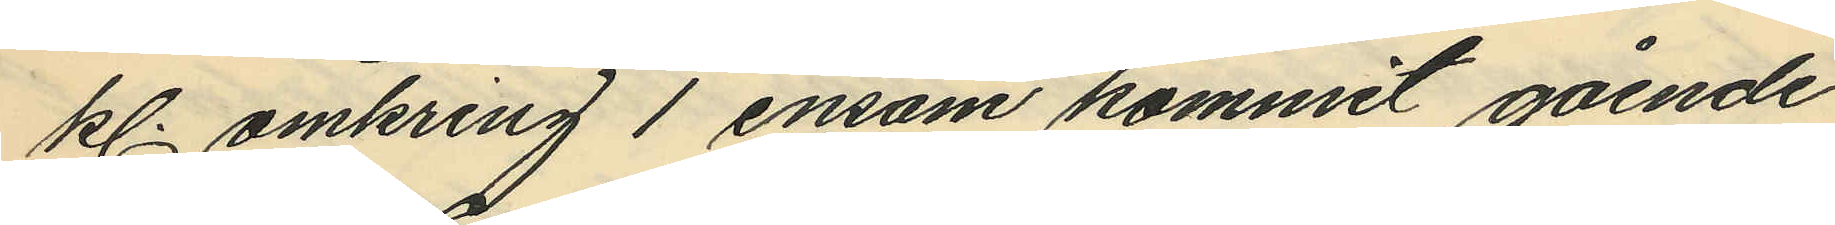kl. omkring 1 ensam kommit gående
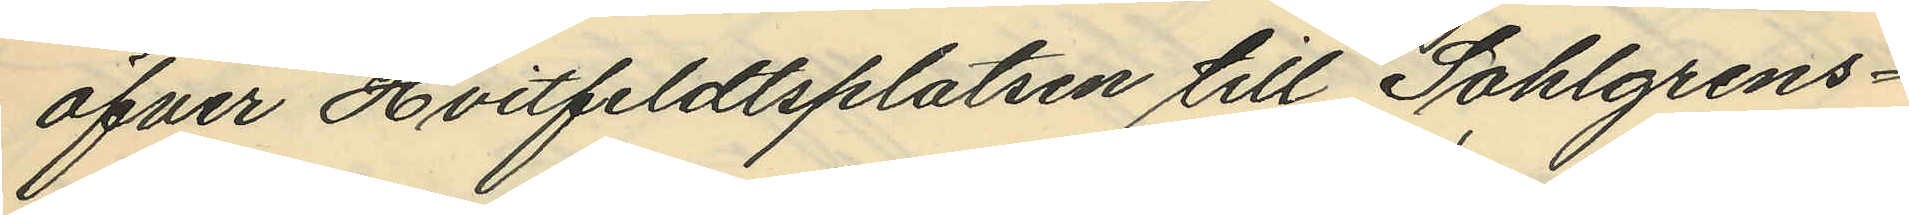öfver Hvitfeldtsplatsen till Sahlgrens¬
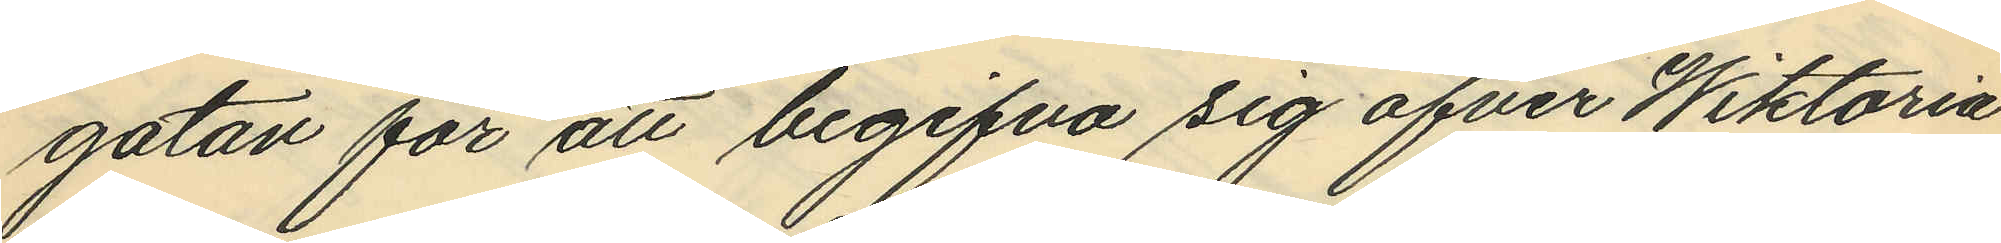gatan för att begifva sig öfver Wiktoria
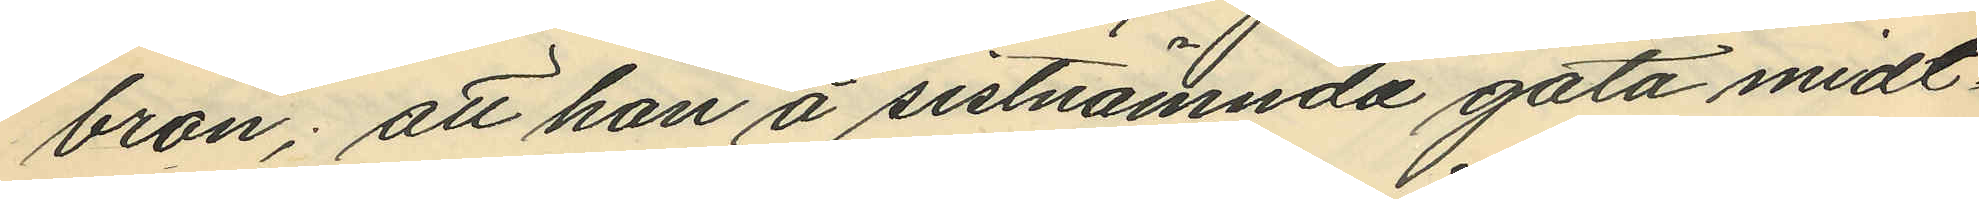bron; att han å sistnämnda gata midt
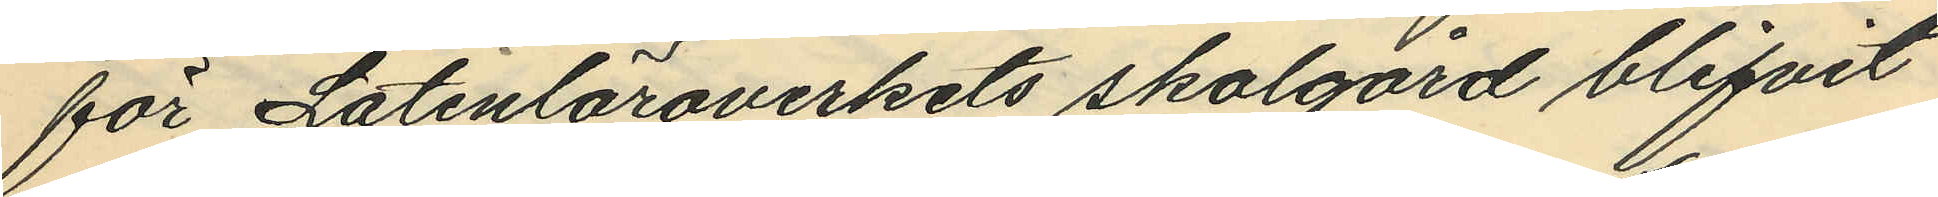för Latinläroverkets skolgård blifvit
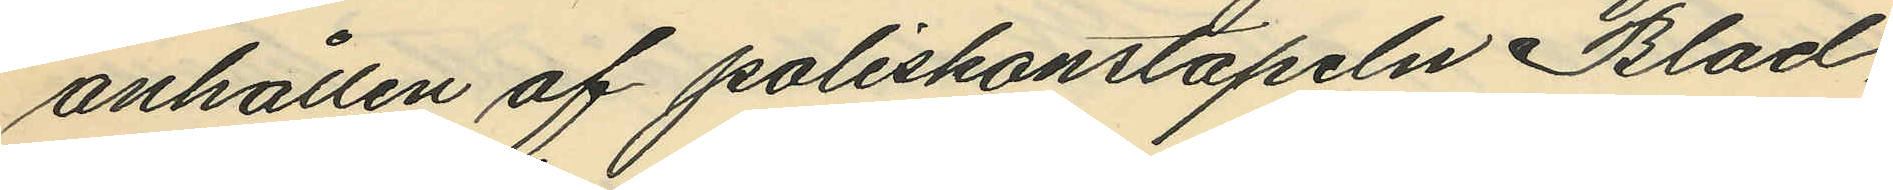anhållen af poliskonstapeln Blad,
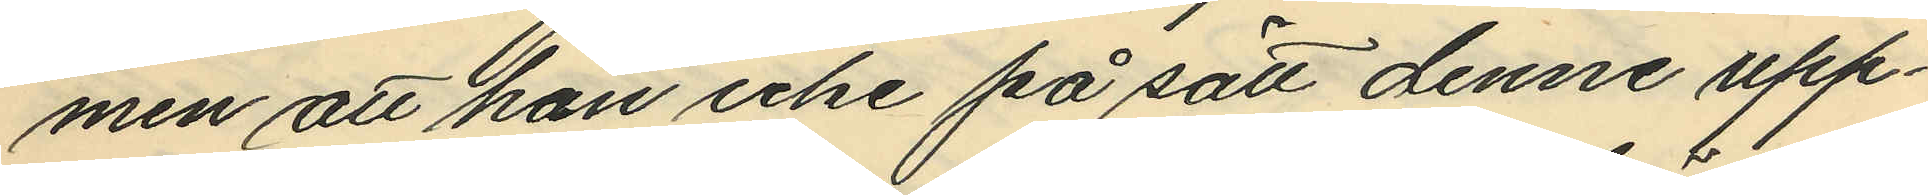men att han icke på sätt denne upp¬
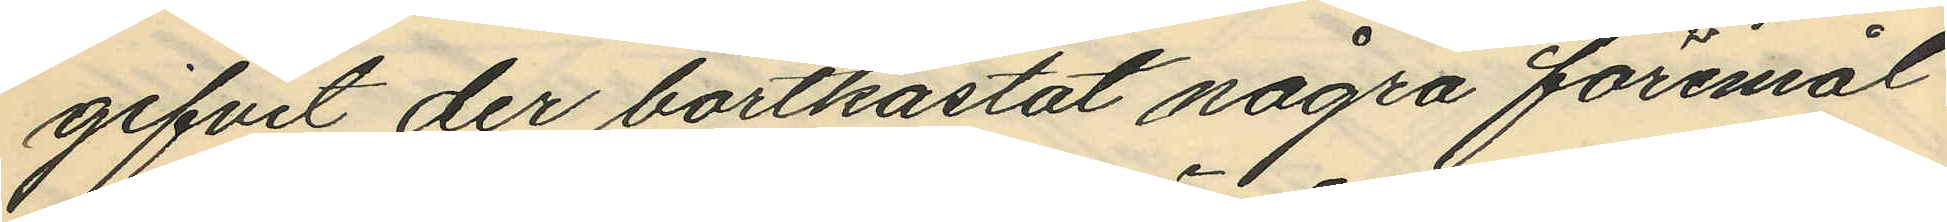gifvit der bortkastat några föremål
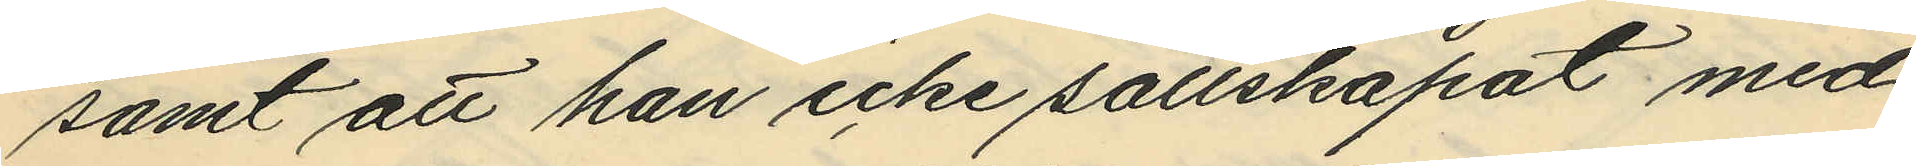samt att han icke sällskapat med
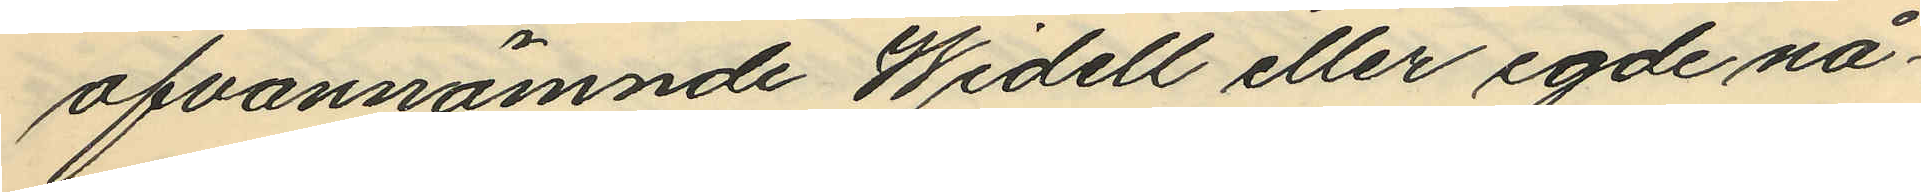ofvannämnde Widell eller egde nå¬
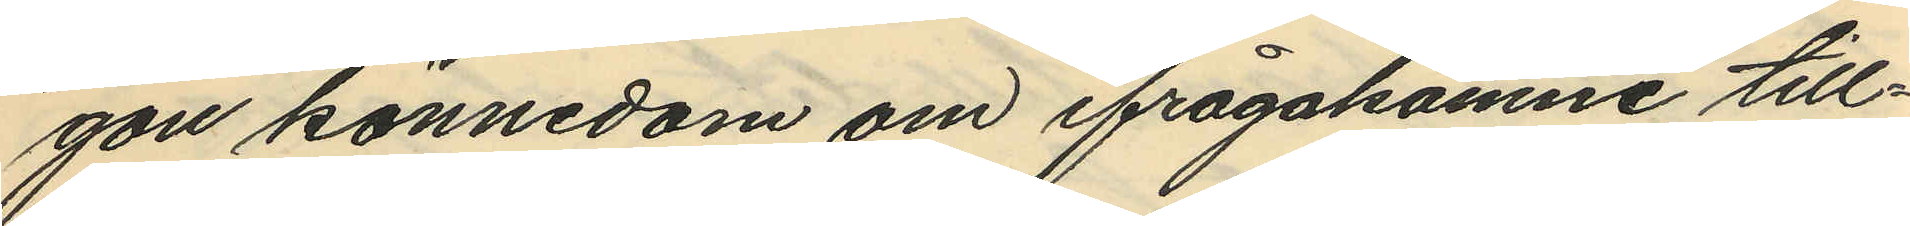gon kännedom om ifrågakomne till¬
